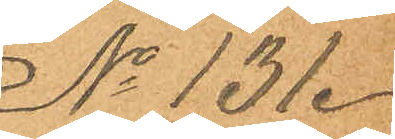No 131.
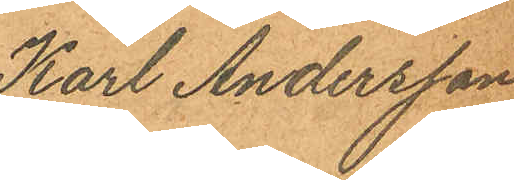Karl Andersson
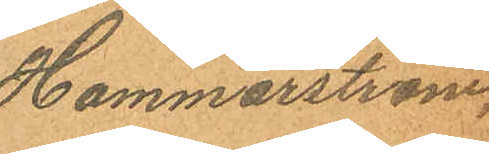Hammarström.
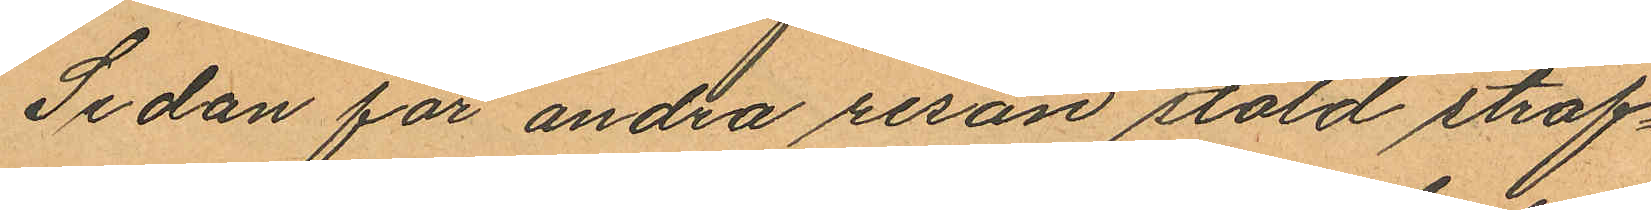Sedan för andra resan stöld straf¬
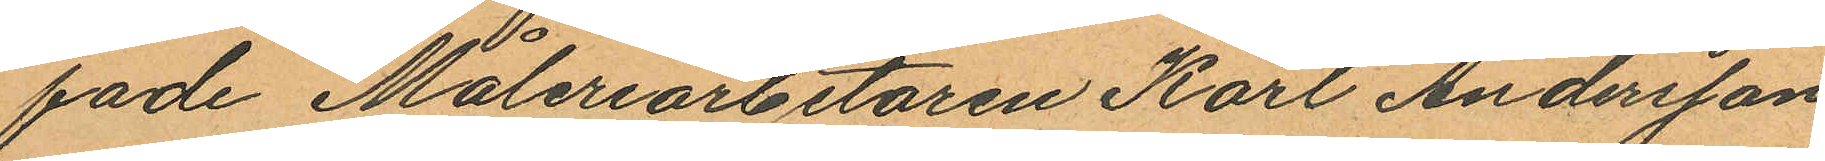fade Måleriarbetaren Karl Andersson
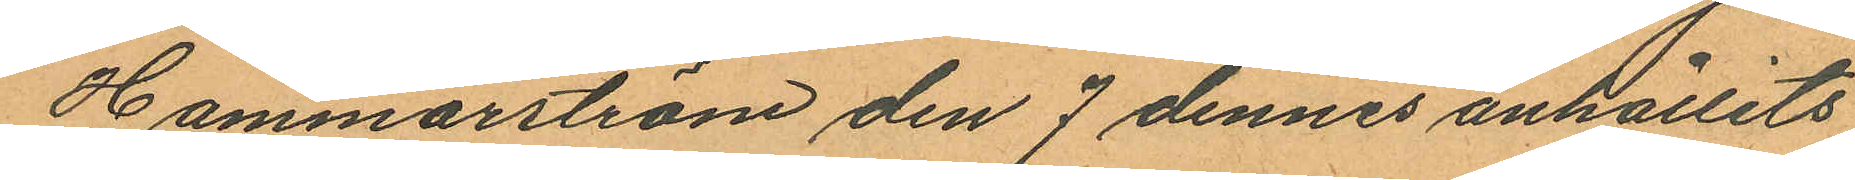Hammarström den 7 dennes anhållits
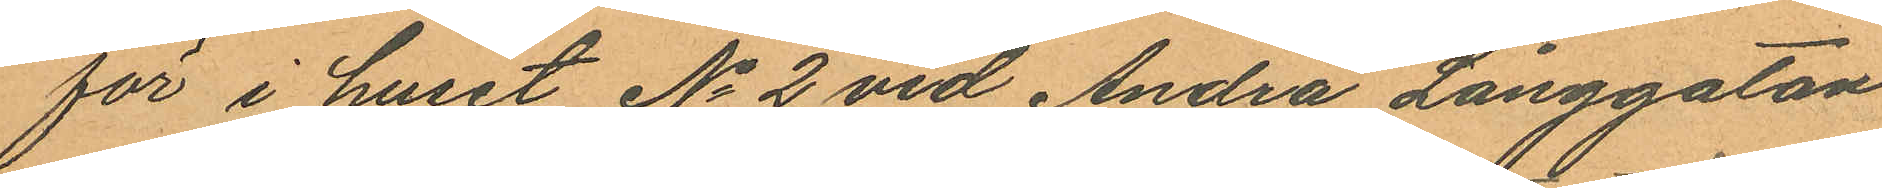för i huset No 2 vid Andra Långgatan
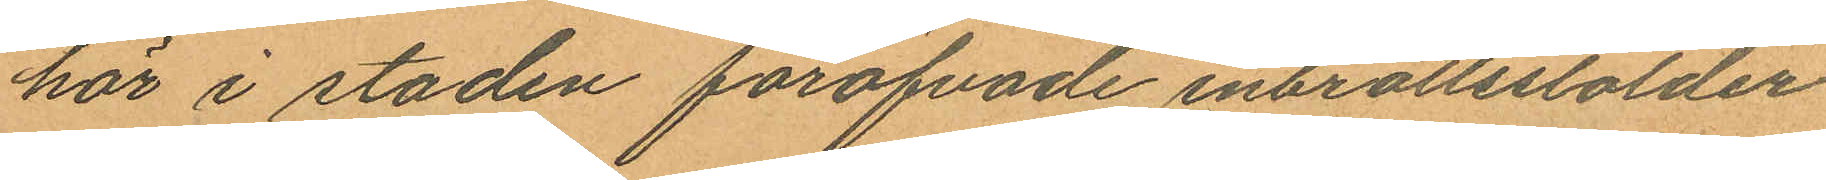här i staden föröfvade inbrottsstölder
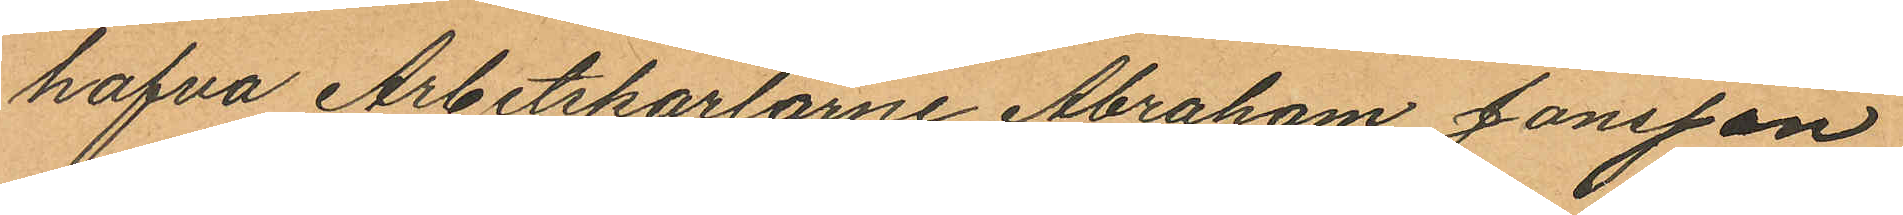hafva Arbetskarlarne Abraham Jönsson
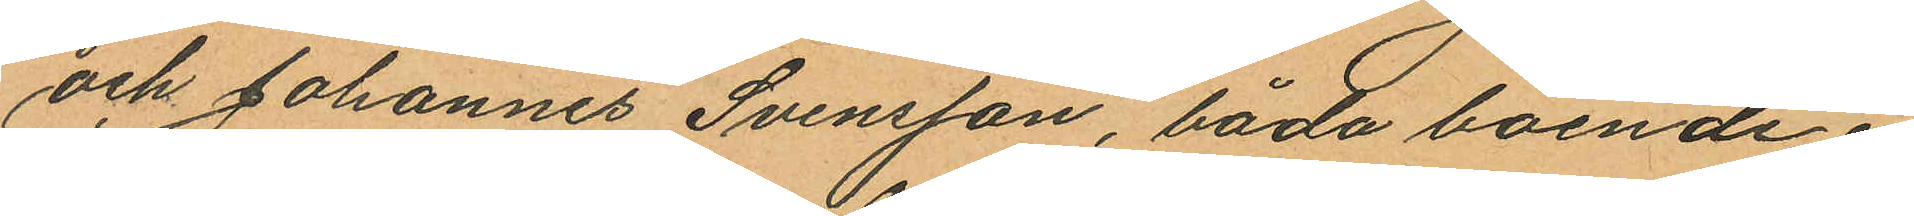och Johannes Svensson, båda boende i
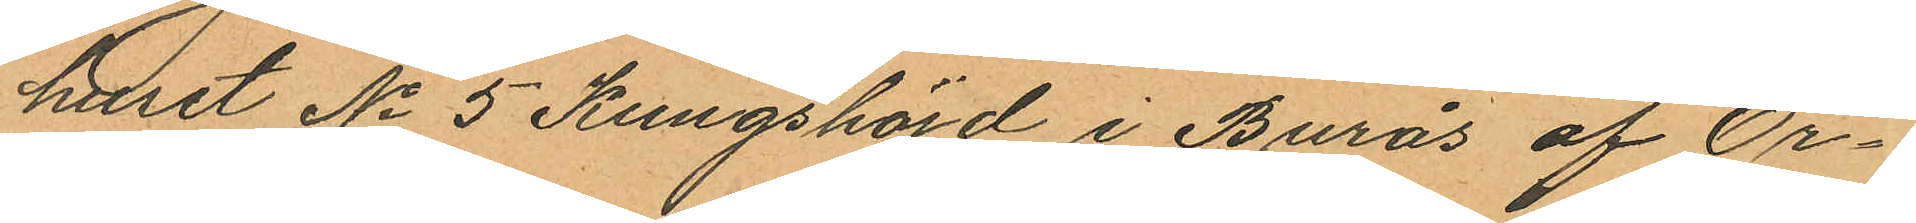huset No 5 Kungshöjd i Burås af Ör¬
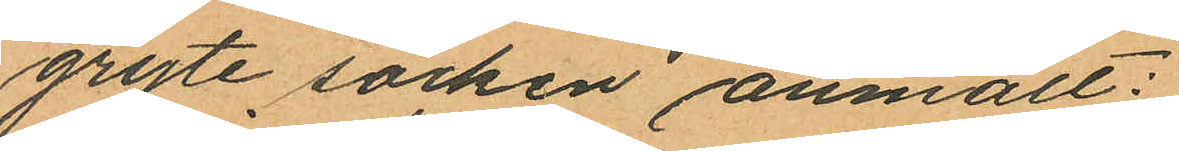gryte socken anmält:
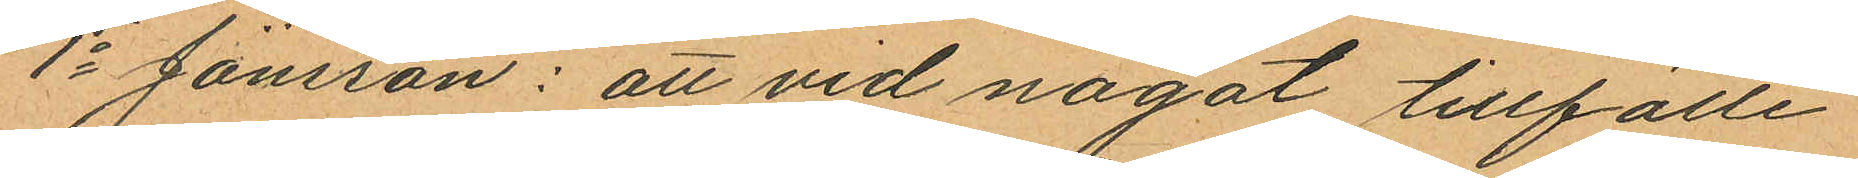1o Jönsson: att vid något tillfälle
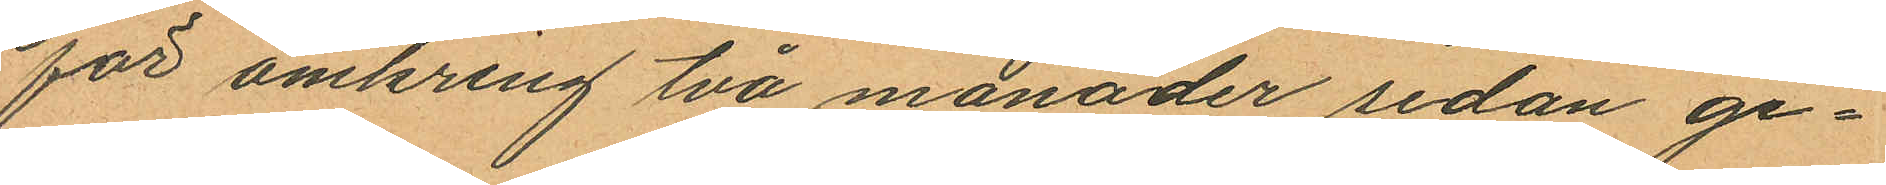för omkring två månader sedan ge¬
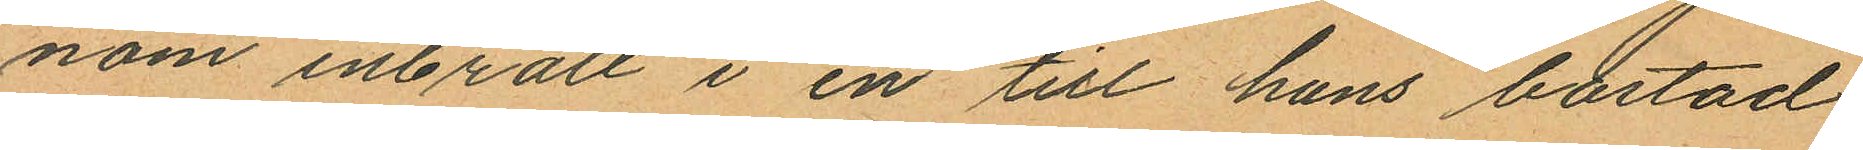nom inbrott i en till hans bostad
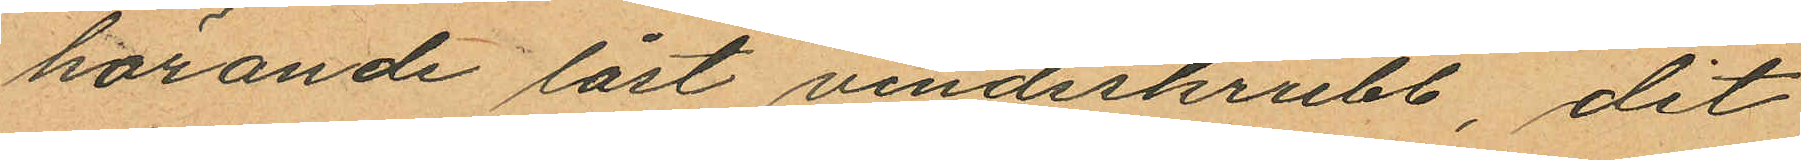hörande låst vindsskrubb, dit
